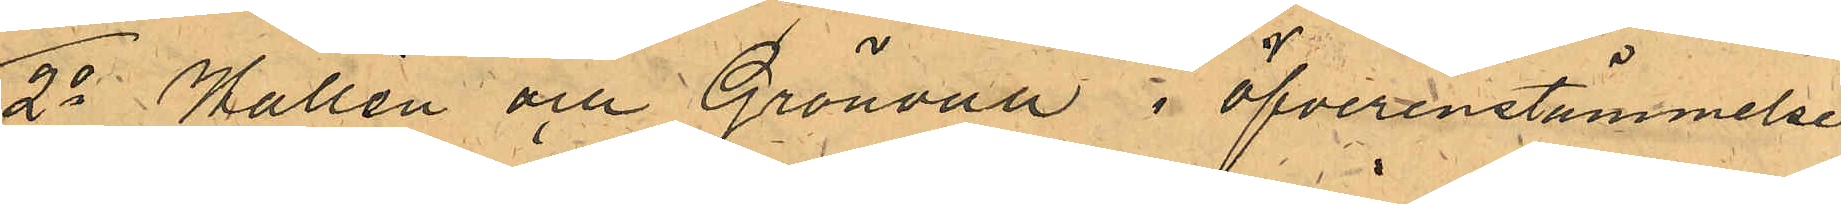2o Wallén och Grönvall i öfverensstämmelse
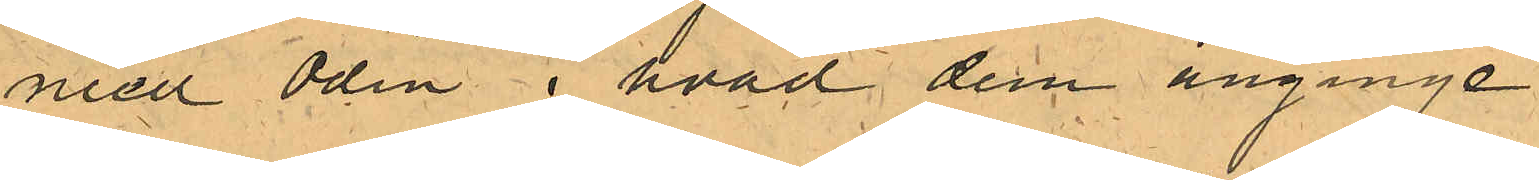med Odin i hvad dem anginge.
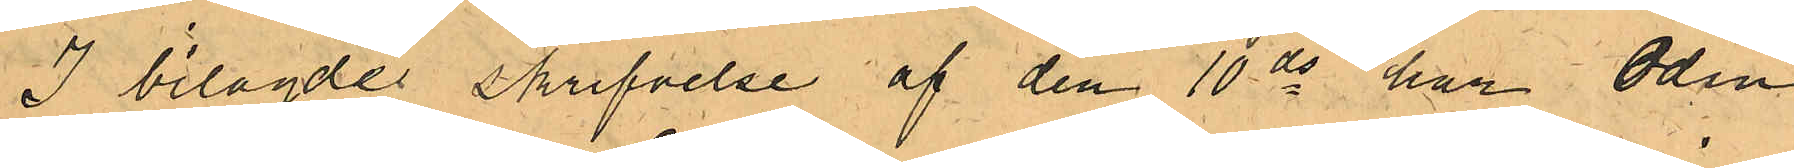I bilagde skrifvelse af den 10 ds har Odin
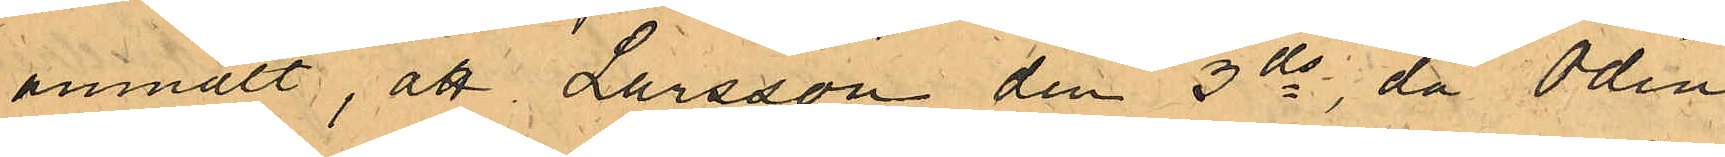anmält, att Larsson den 3 ds, då Odin
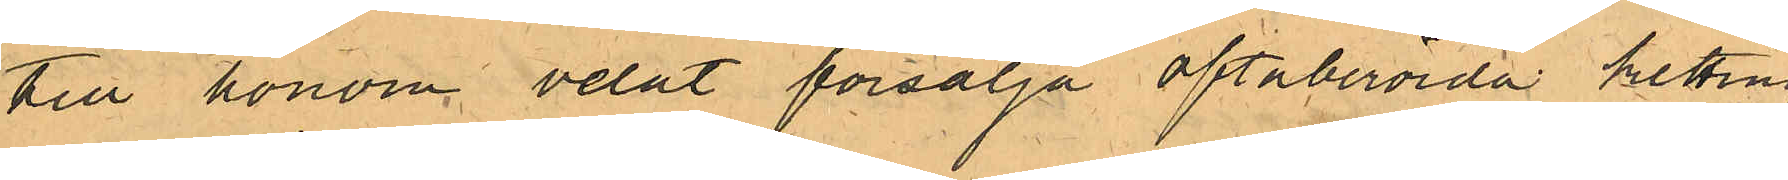till honom velat försälja oftaberörda ketting
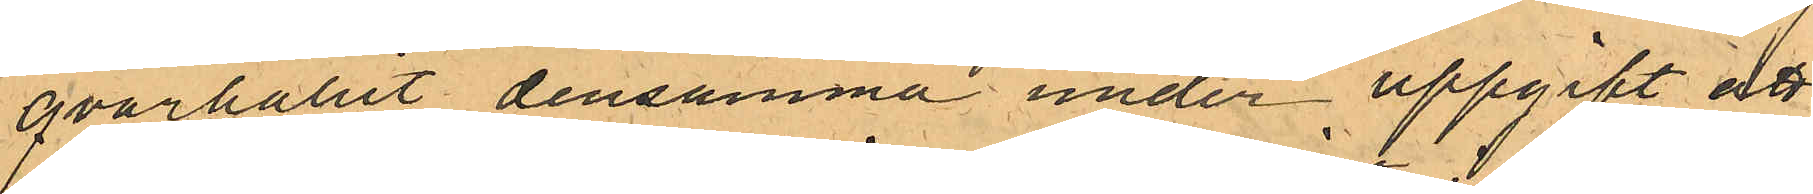qvarhållit densamma under uppgift att
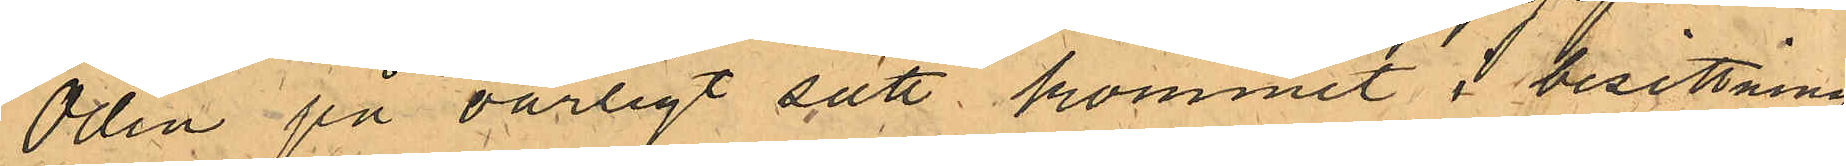Odin på oärligt sätt kommit i besittning
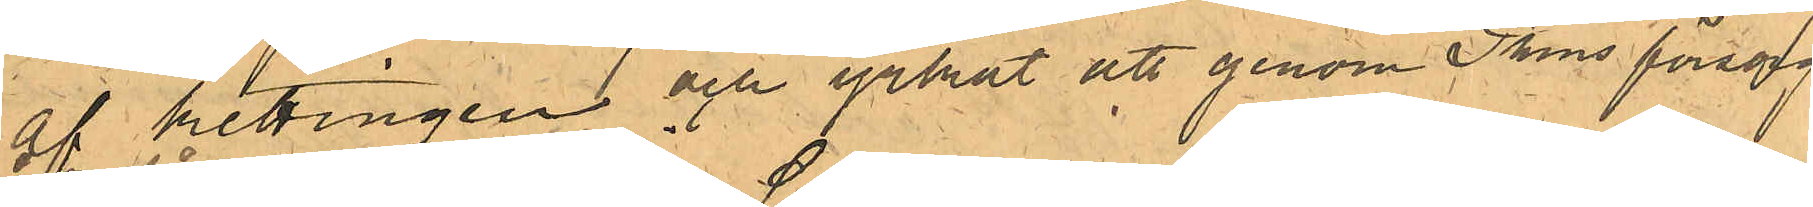af kettingen och yrkat att genom PKns försorg
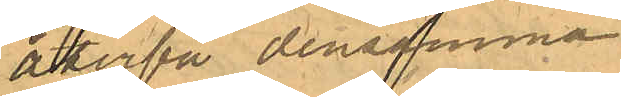återfå densamma.
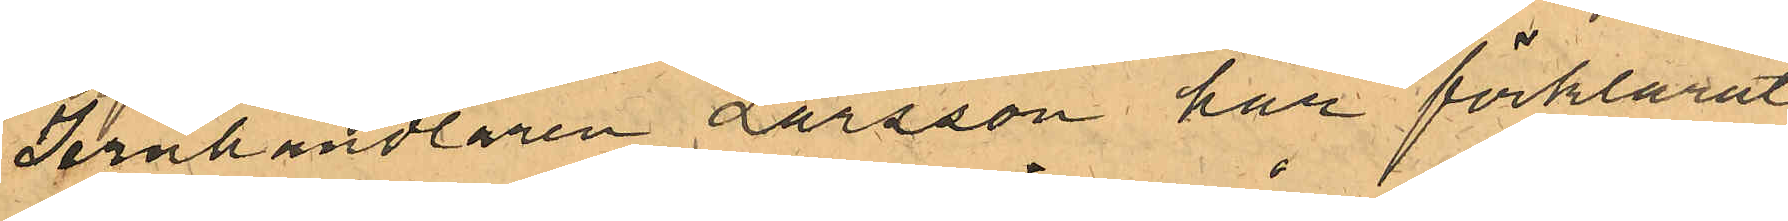Jernhandlaren Larsson har förklarat
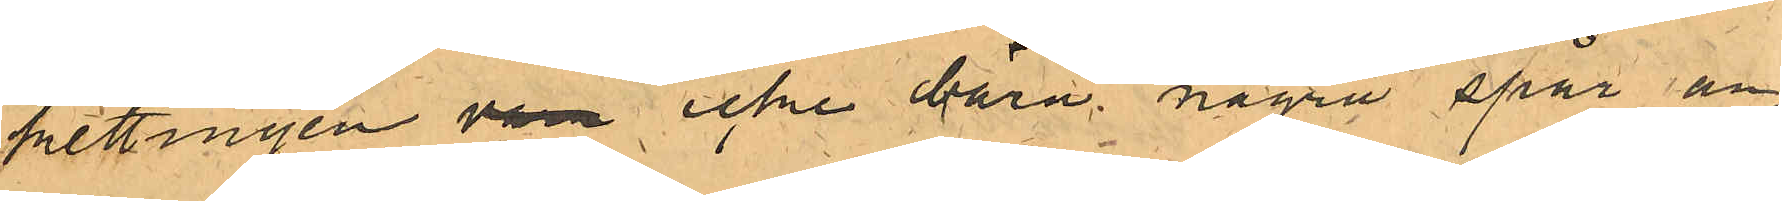kettingen vara icke bära några spår an¬
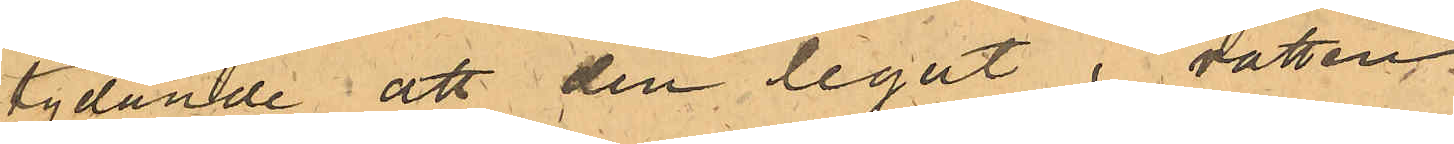tydande att den legat i vatten.
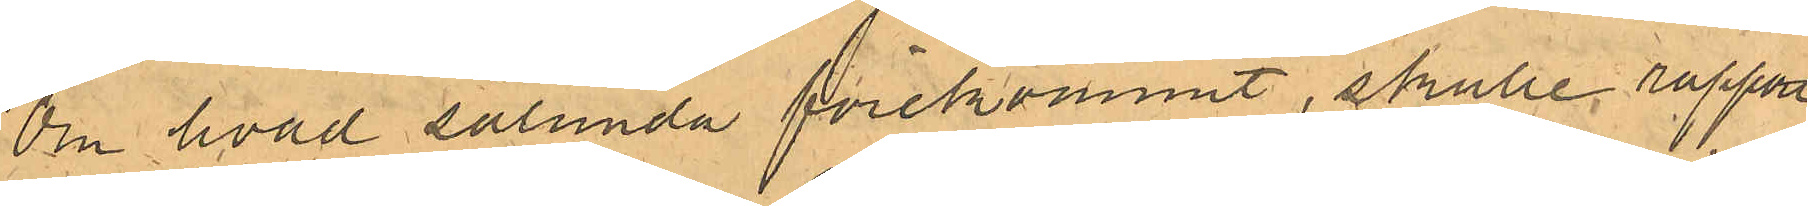Om hvad sålunda förekommit, skulle rapport
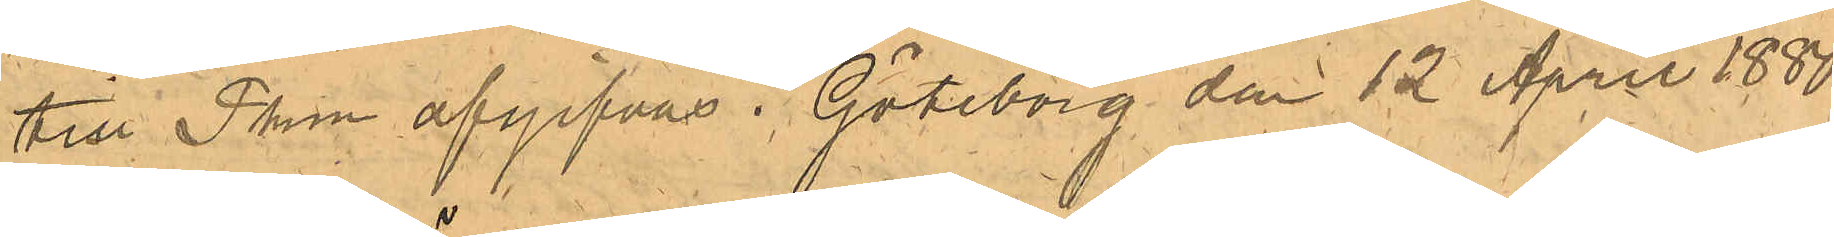till Pkn afgifvas. Görborg den 12 April 1880.
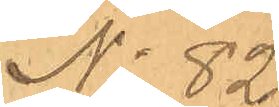No 82.
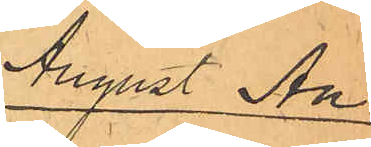August An¬
